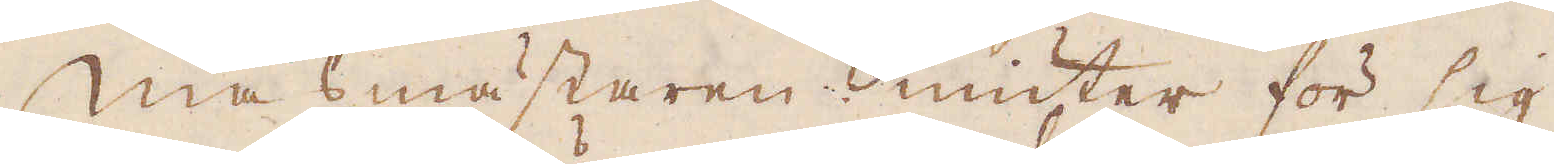Masmästaren niuter för sig
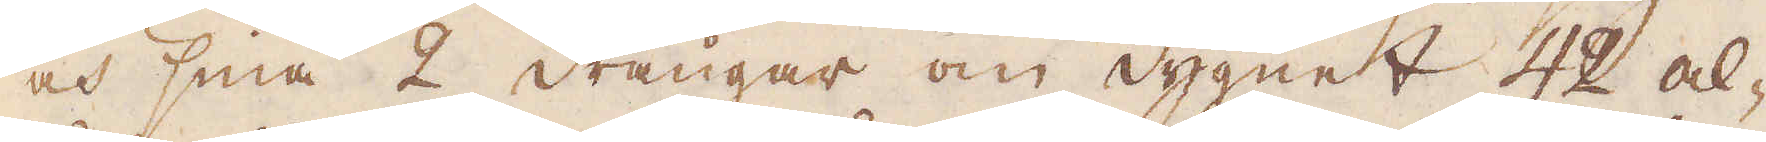och sina 2 drängar om dygnet 42 al-
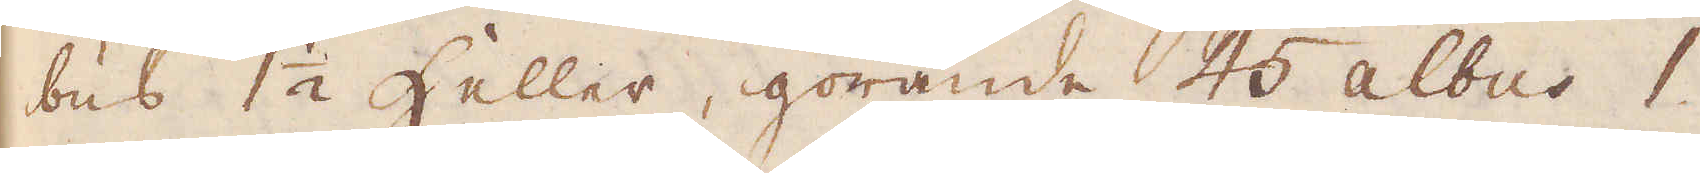bus 1 1/2 heller, görande 45 albus 1
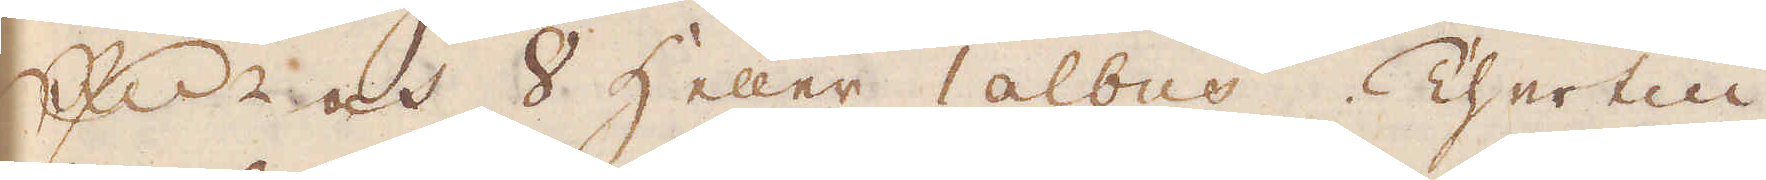R:dr och 8 heller 1 albus. Thertill
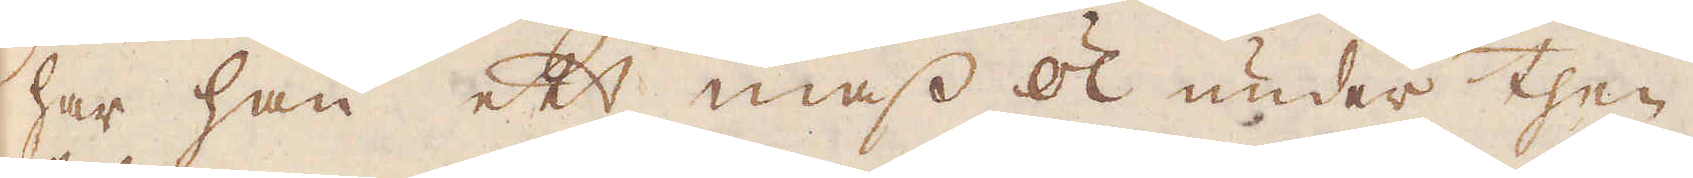har han ett mass öl under then
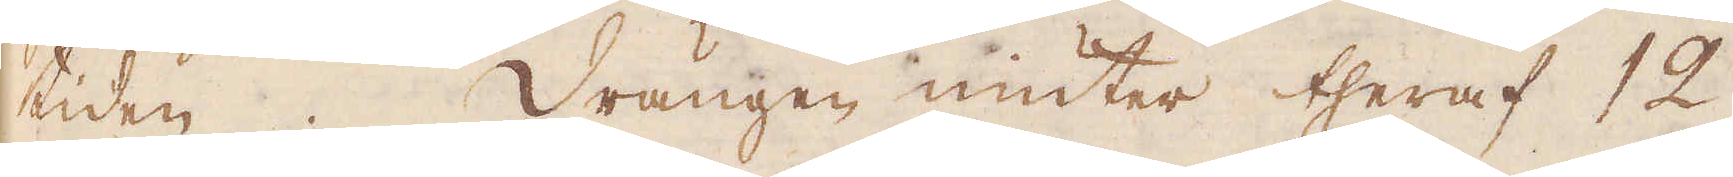tiden. Drängen niuter theraf 12
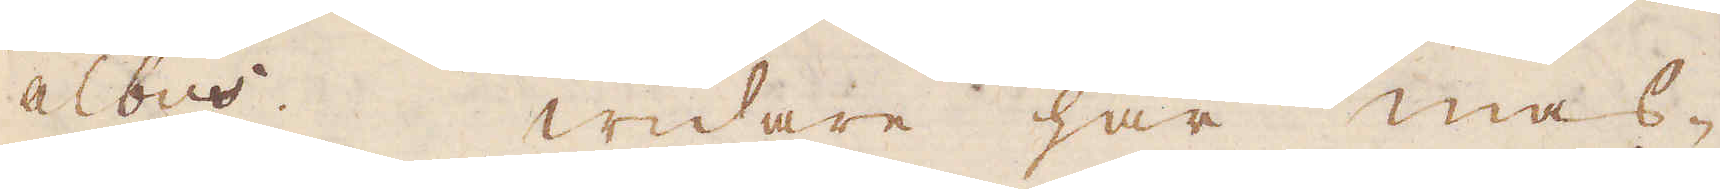albus. Widare har mas-
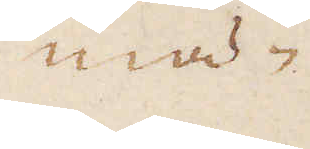mä-
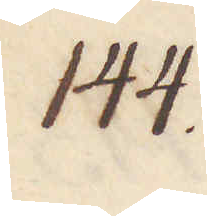144.
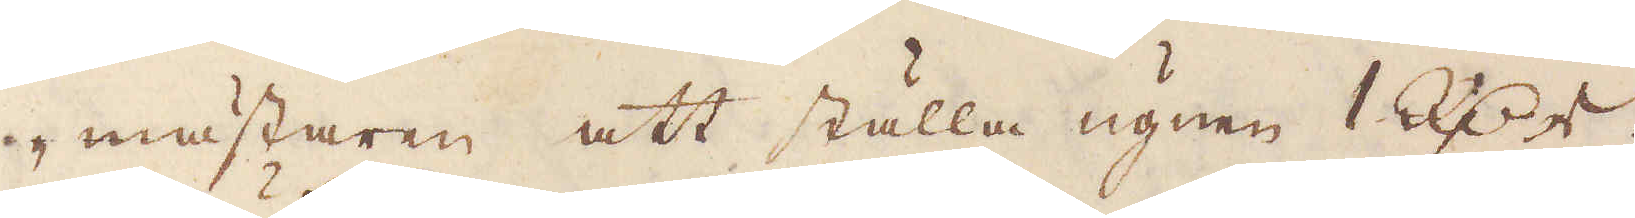mästaren att ställa ugnen 1 R:dr
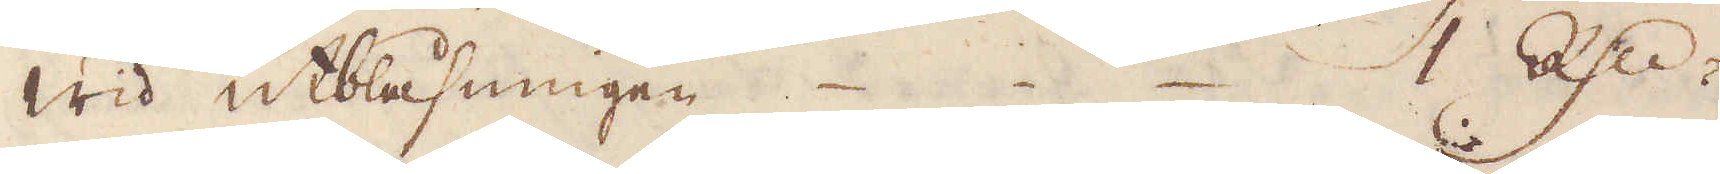Wid utblåsningen 1 R:dr
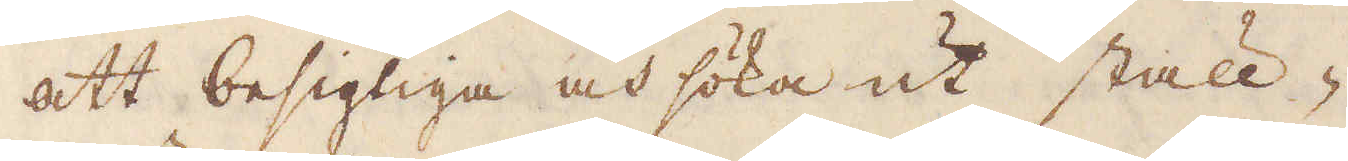att besigtiga och söka ut ställ-
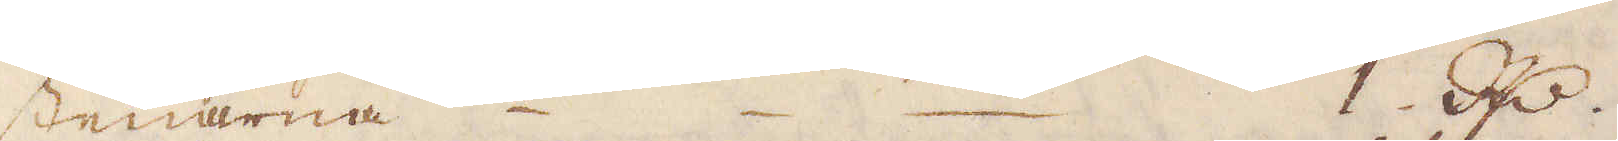stenarna 1. R:r.
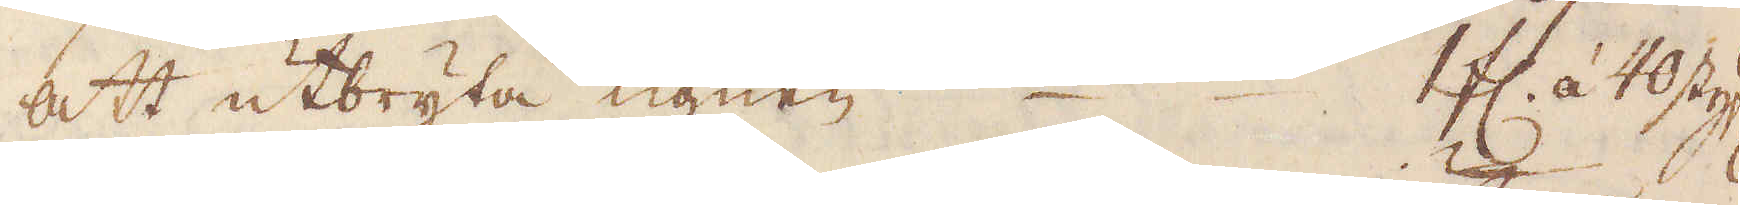att utbryta ugnen 1 fl. á 40 styf:r
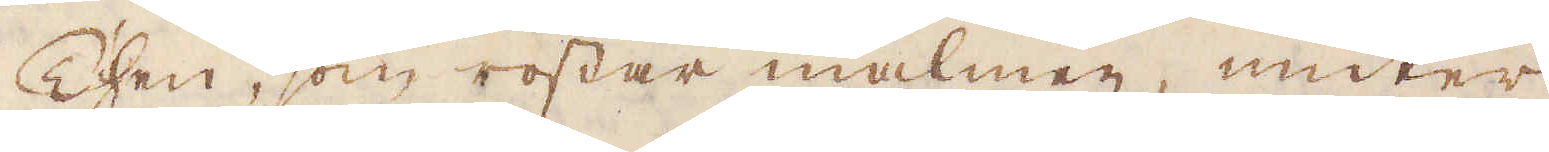Then, som rostar malmen, niuter
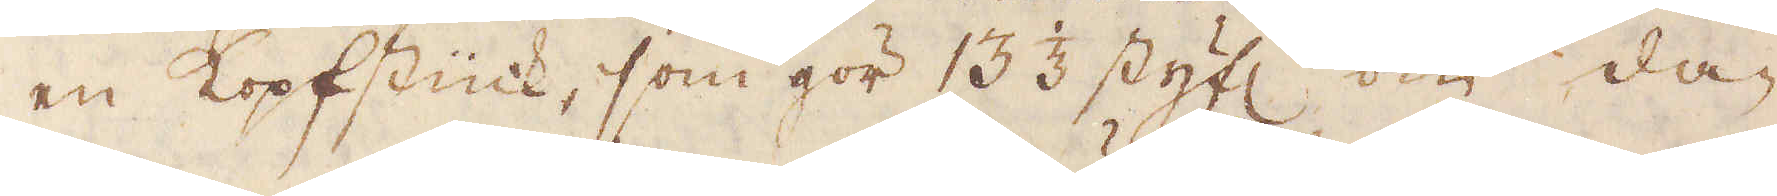en Kopfstück, som gör 13 1/3 styf:r om da-
